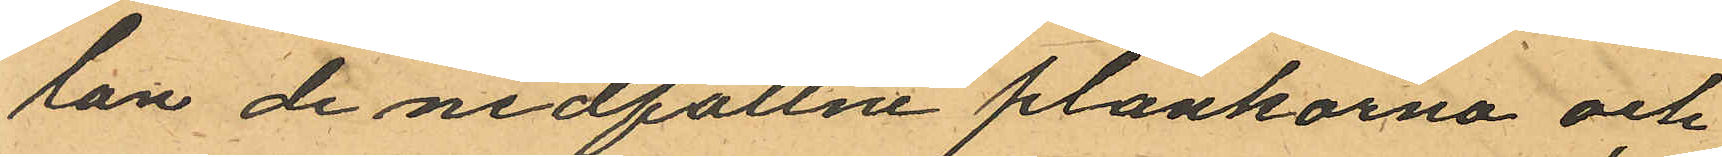lan de nedfallne plankorna och
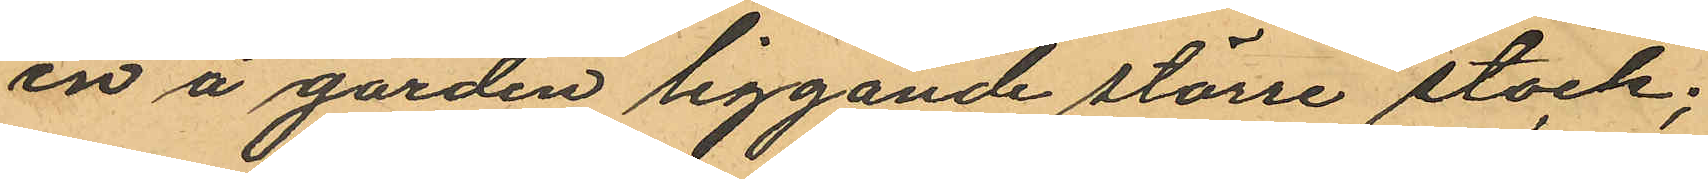en å gården liggande större stock;
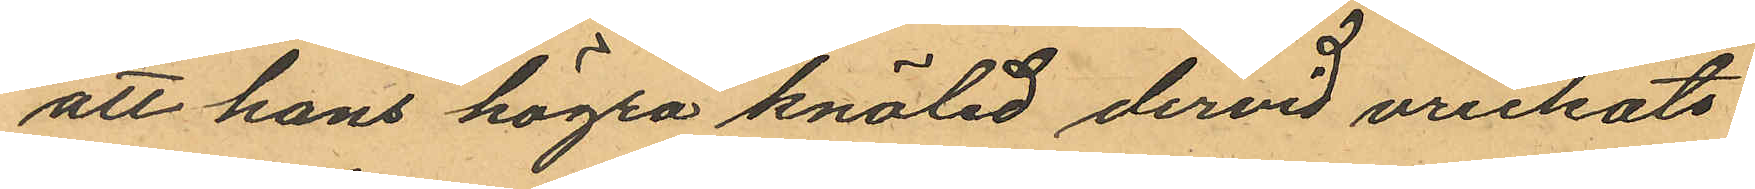att hans högra knäled dervid vrickats
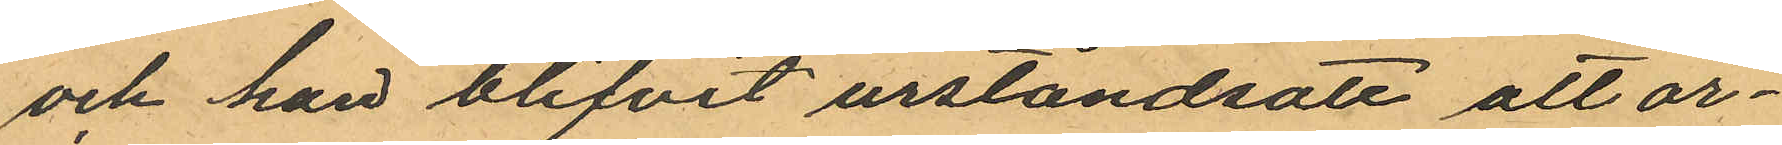och han blifvit urståndsatt att ar¬
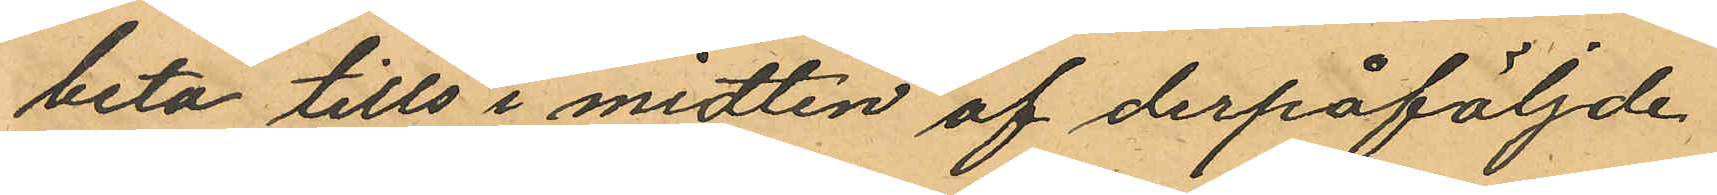beta tills i midten af derpåföljde
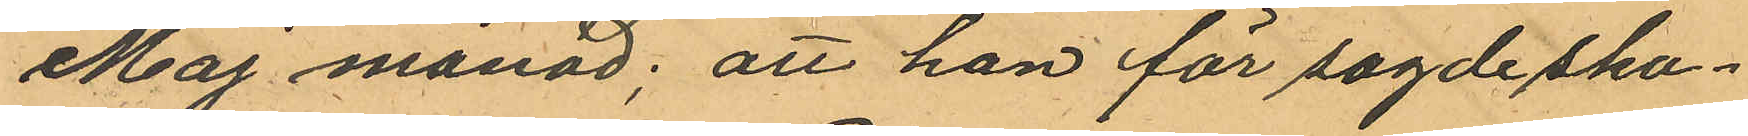Maj månad; att han för sagde ska¬
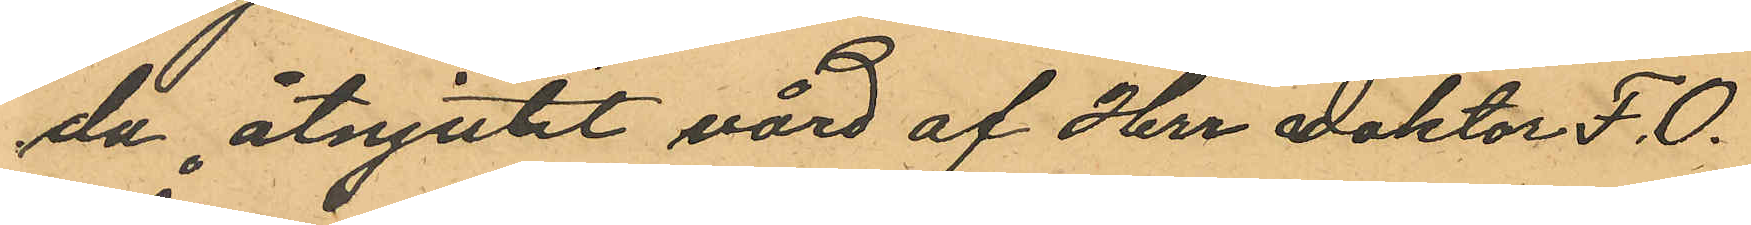da åtnjutit vård af Herr Doktor F. O.
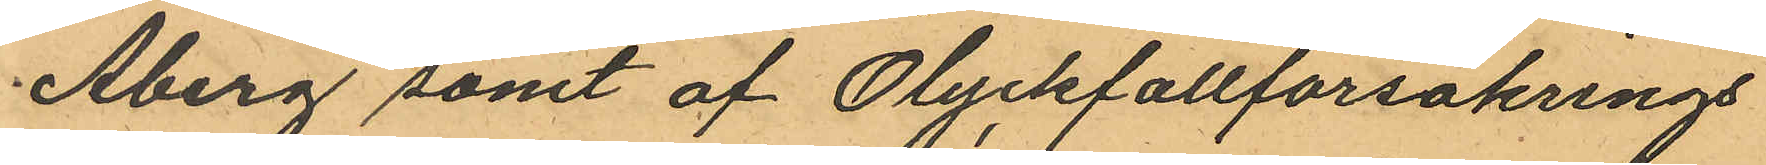Åberg samt af Olyckfallförsäkrings
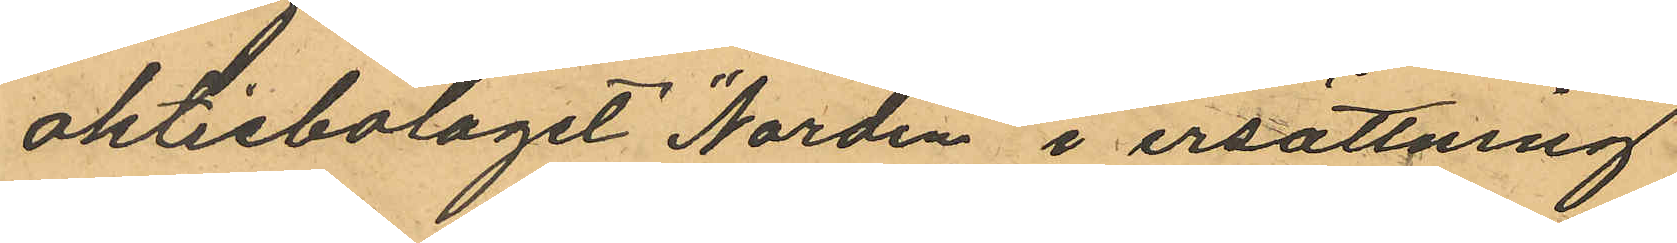aktiebolaget "Norden" i ersättning
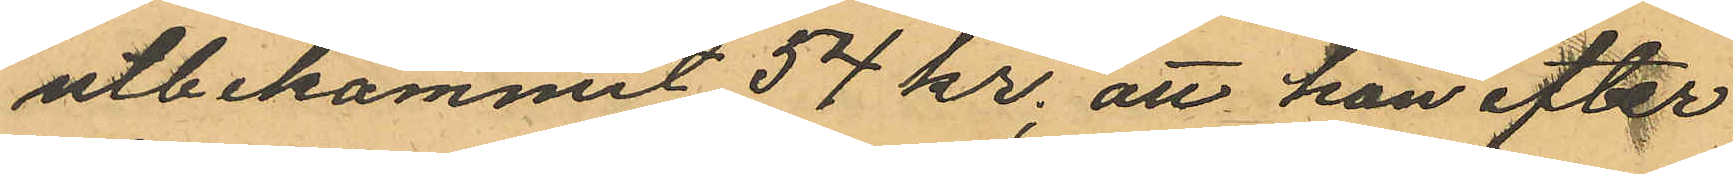utbekommit 54 kr; att han efter
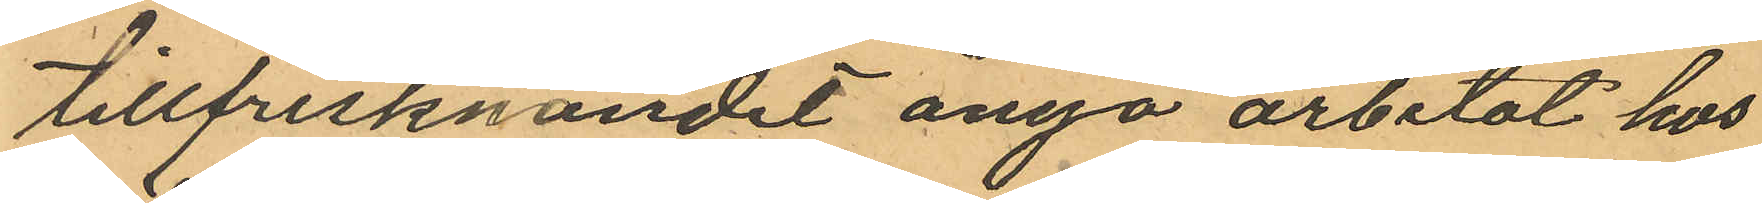tillfrisknandet ånyo arbetat hos
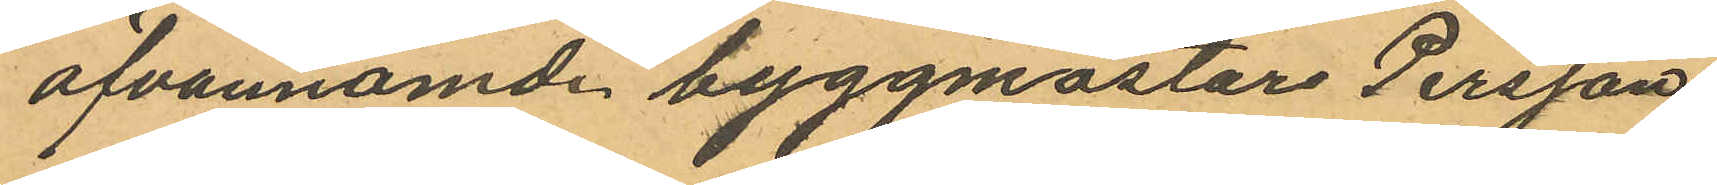ofvannämde byggmästare Persson
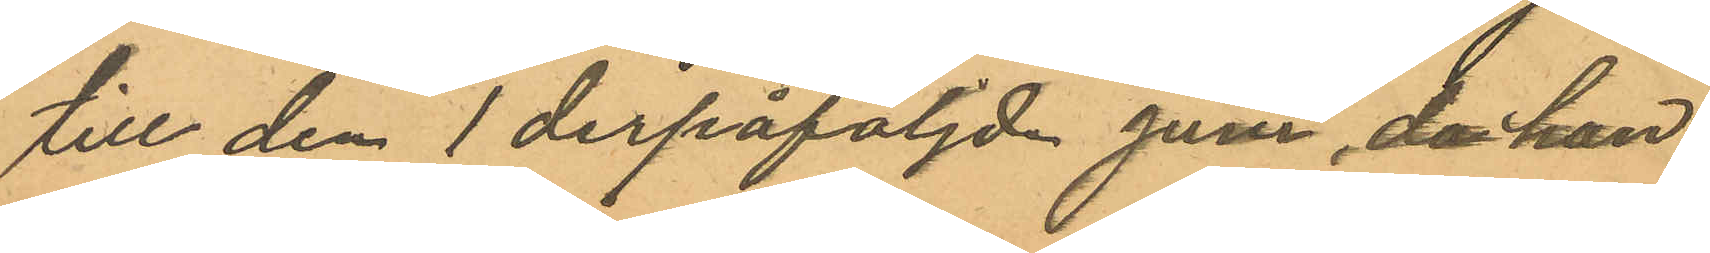till den 1 derpåföljde juni, då han
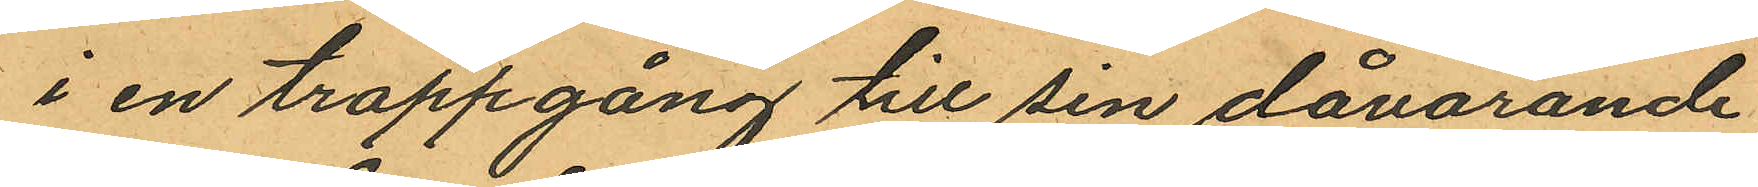i en trappgång till sin dåvarande
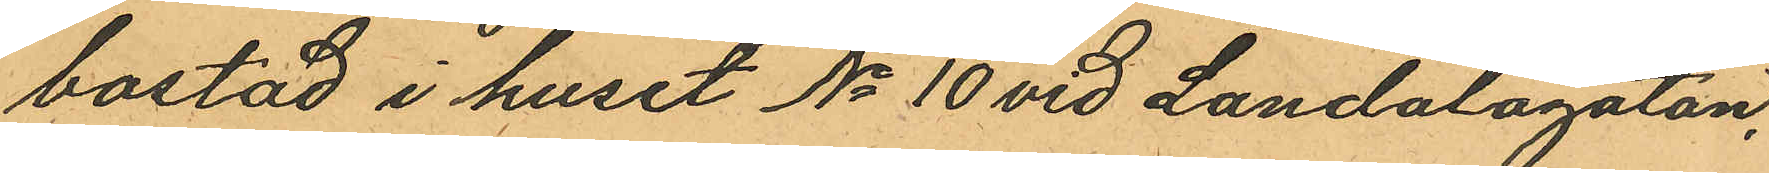bostad i huset No 10 vid Landalagatan,
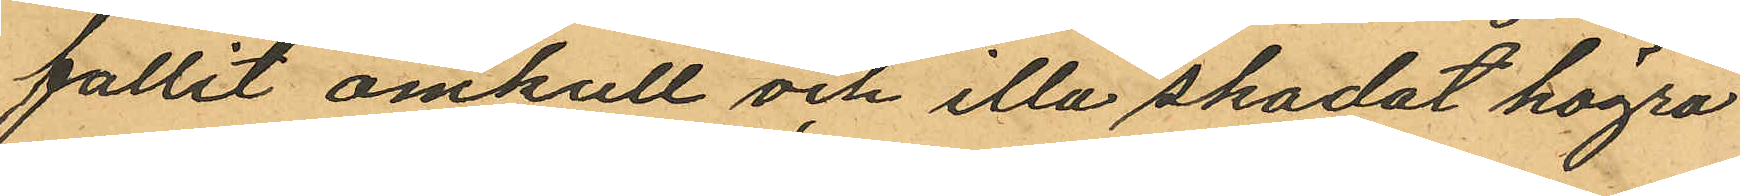fallit omkull och illa skadat högra
